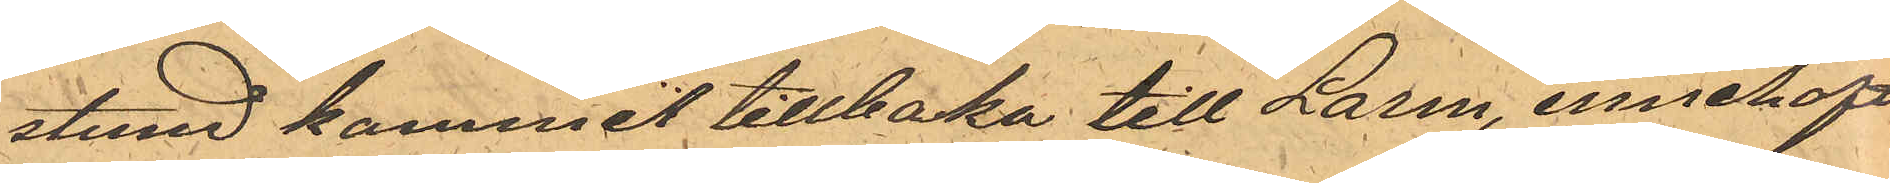stund kommit tillbaka till Larm, innehaft
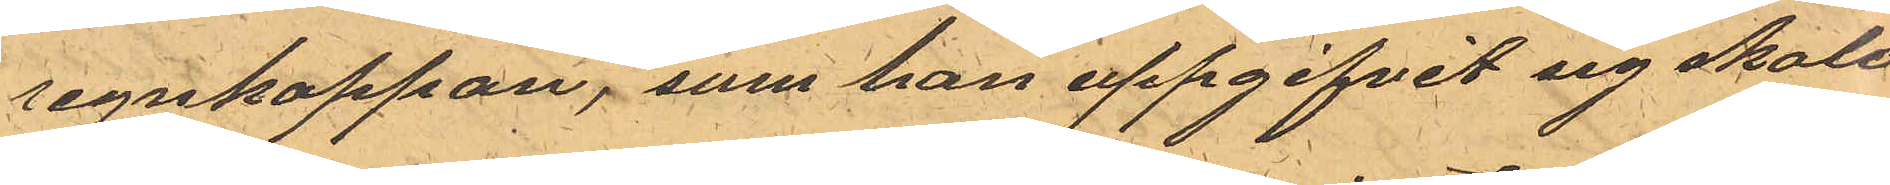regnkappan, som han uppgifvit sig skola
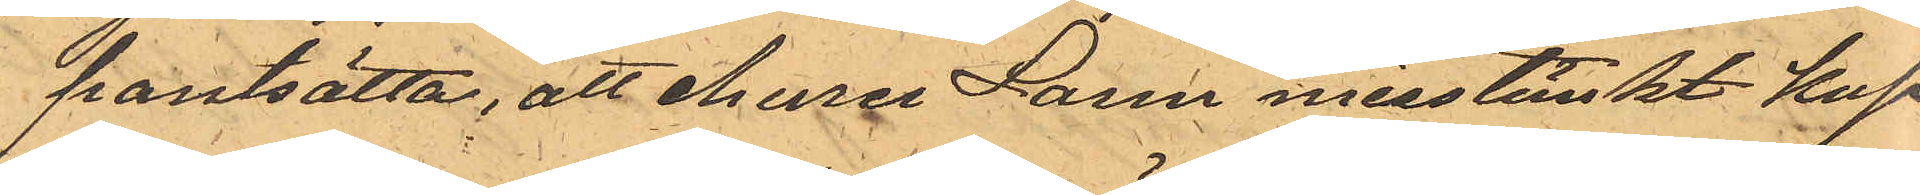pantsätta, att ehuru Larm misstänkt kap¬
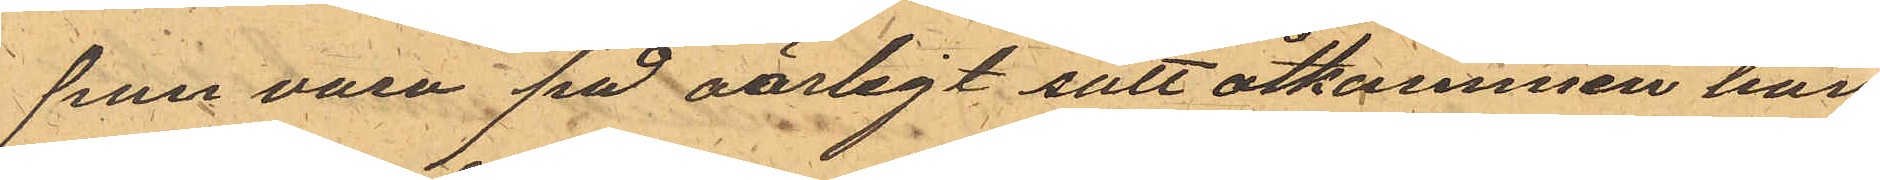pan vara på oärligt sätt åtkommen han
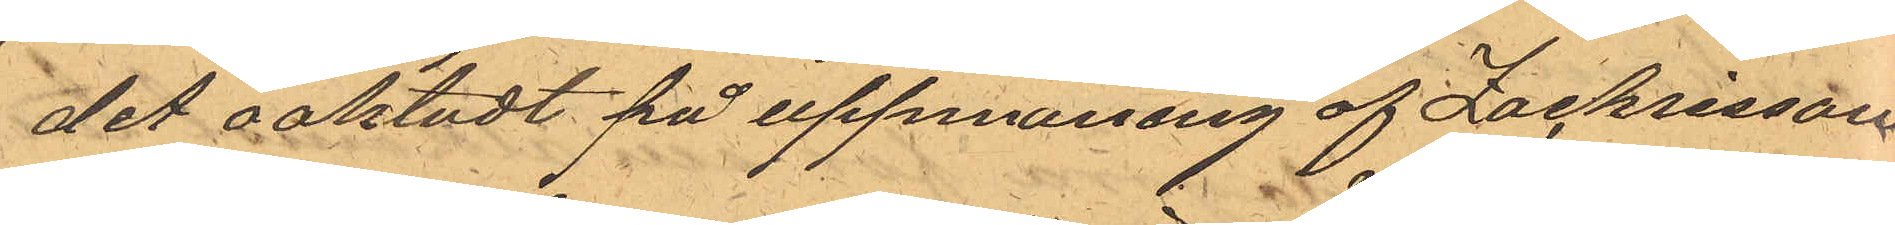det oaktadt på uppmaning af Zachrisson
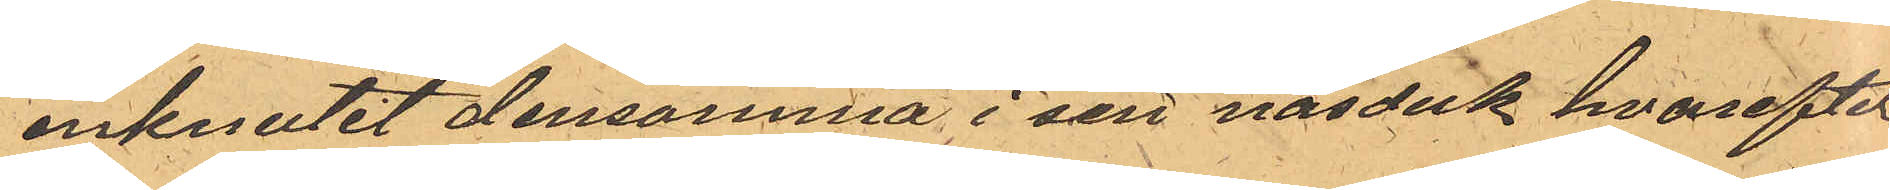inknutit densamma i sin näsduk hvarefter
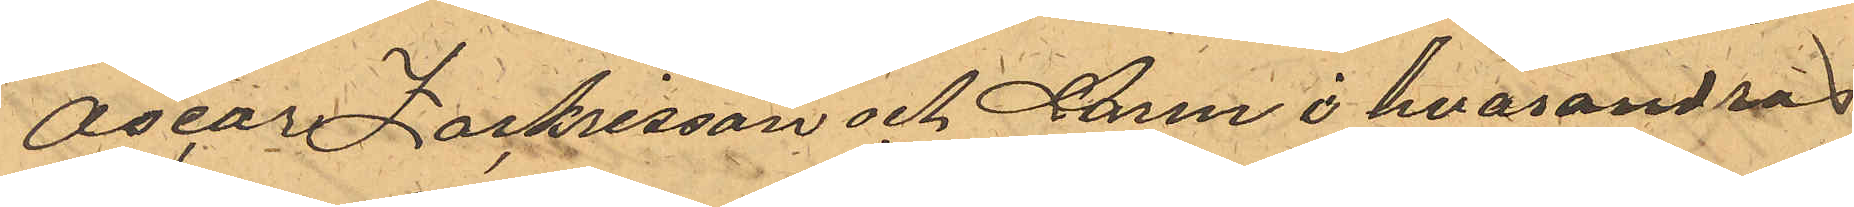Oscar Zachrisson och Larm i hvarandras
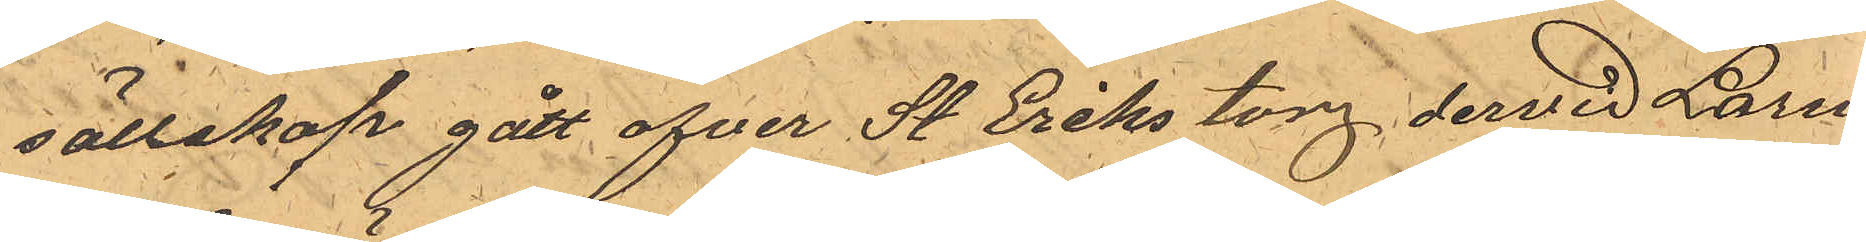sällskap gått ofver St. Eriks torg dervid Larm
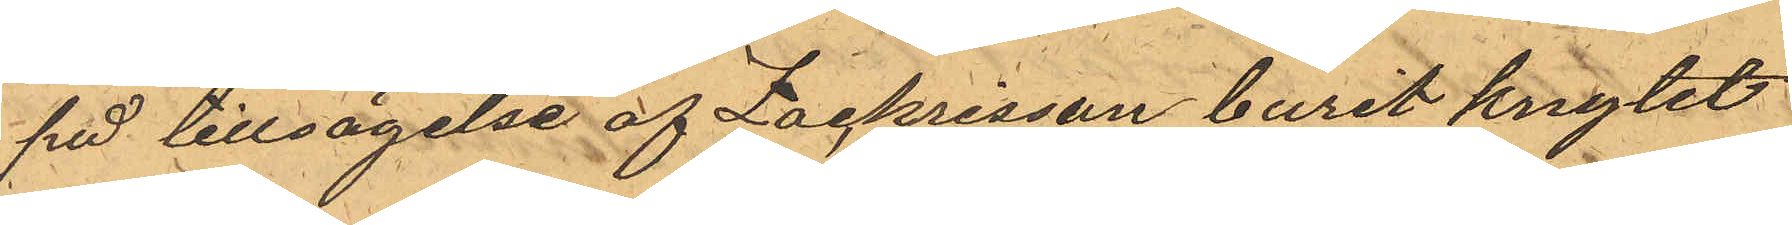på tillsägelse af Zackrisson burit knytet
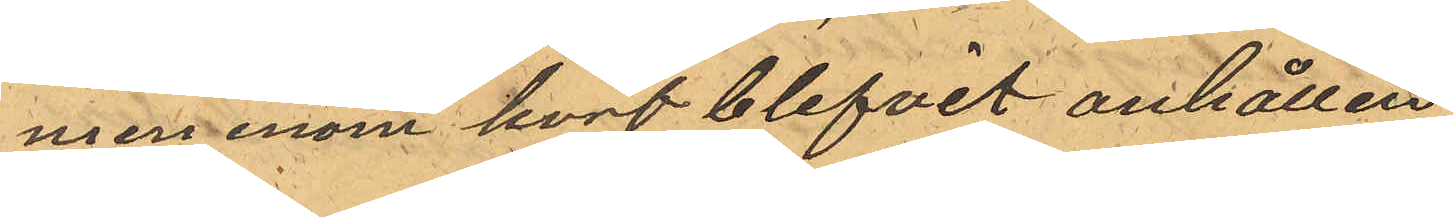men inom kort blifvit anhållen.
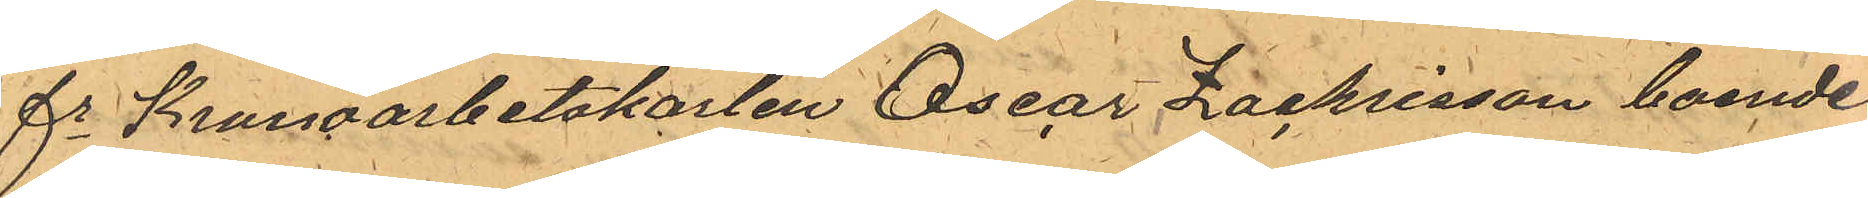fe Kronoarbetskarlen Oscar Zachrisson boende
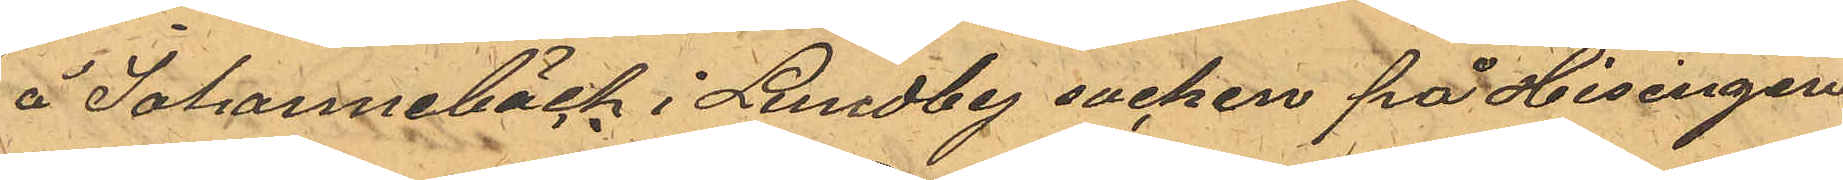å Johannebäck i Lundby socken på Hisingen
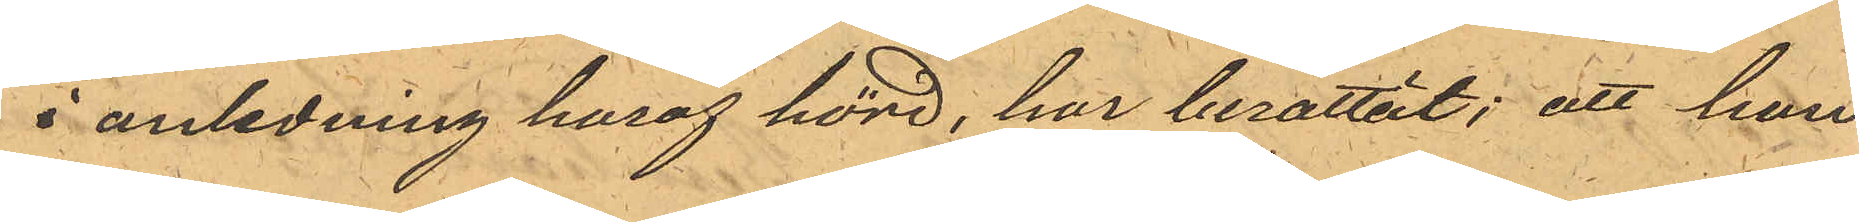i anledning haraf hörd, har berattät; att han
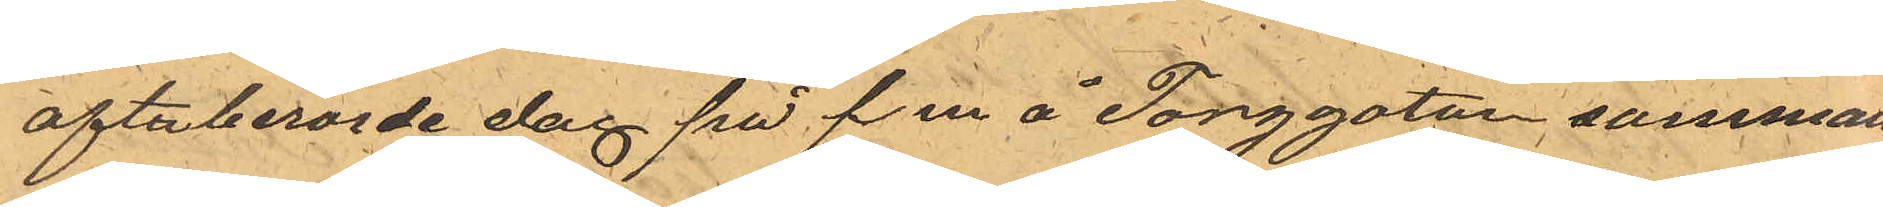oftaberorde dag på f m å Torggatan samman¬
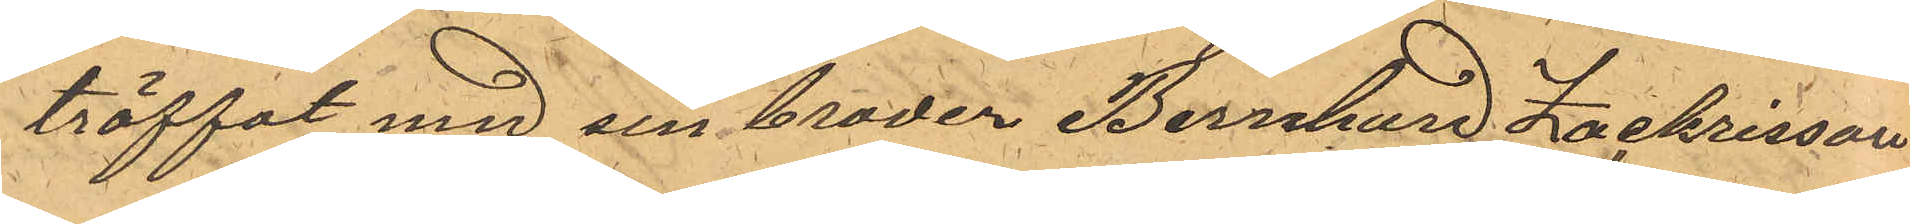träffat med sin broder Bernhard Zachrisson
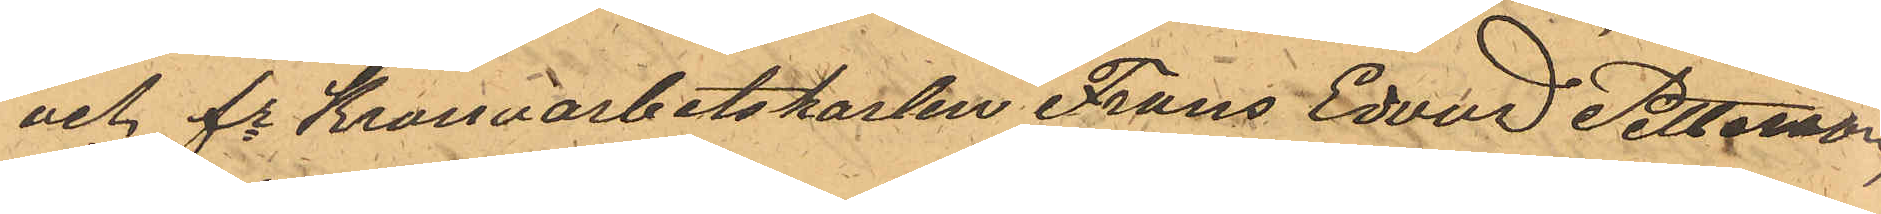och fe Kronoarbetskarlen Frans Edvad Petterson,
